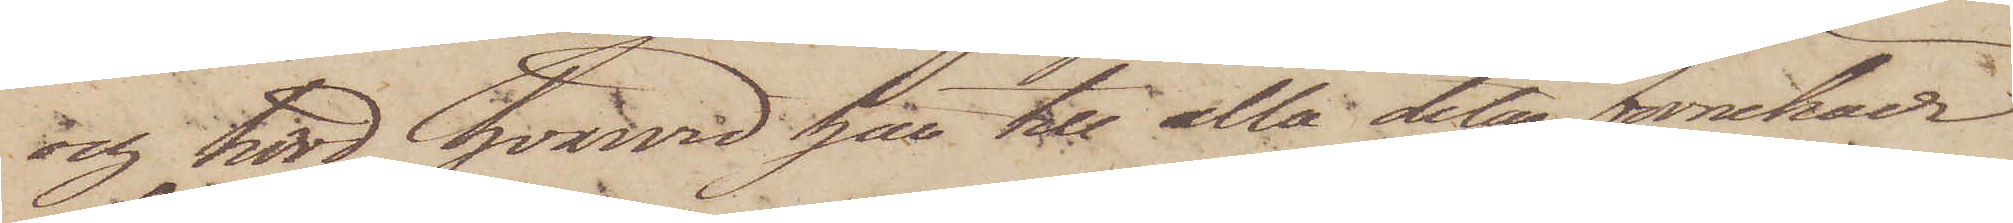och hörd, hvarvid han till alla delar förnekar
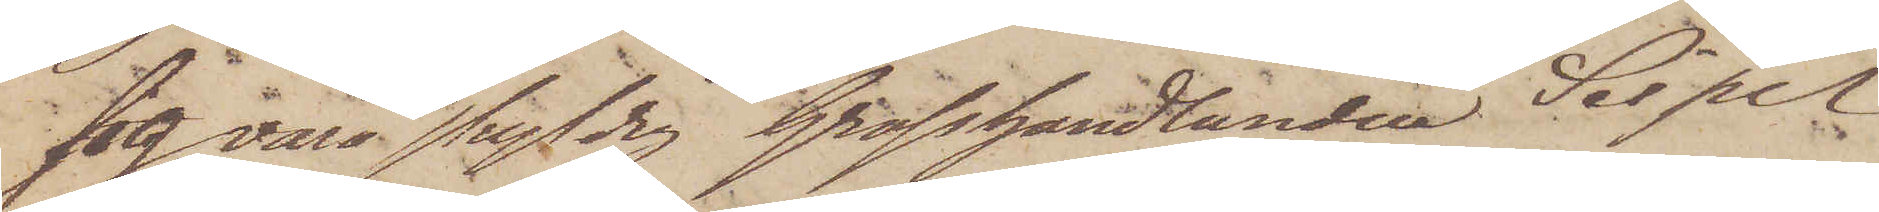sig vara skyldig Grosshandlanden Seipel
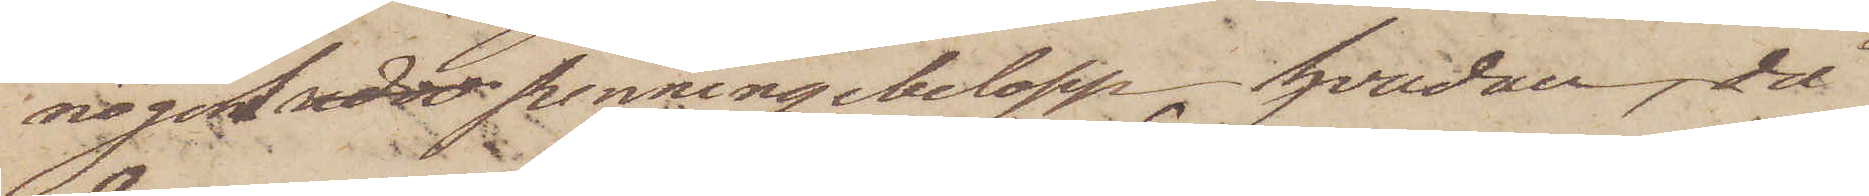något rdr penningebelopp, hvadan, då
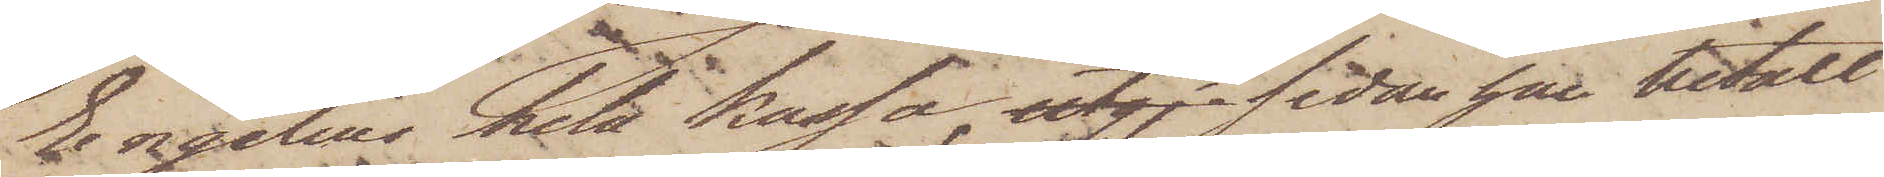Engelins hela kassa, utgj sedan han betalt
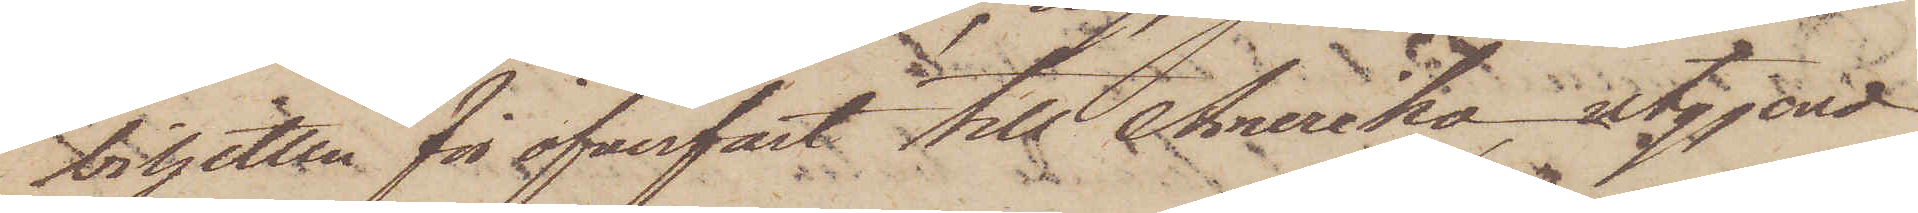biljetten för öfverfart till Amerika, utgjord
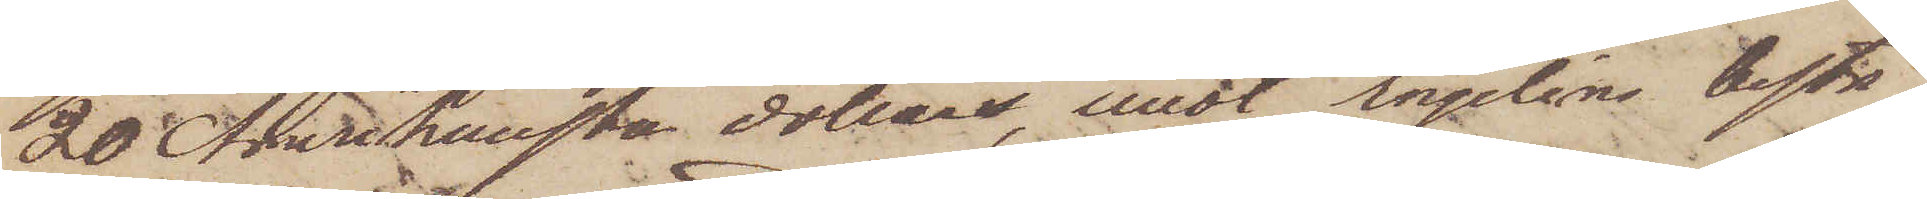20 Amrikanska dollar, emot Engelins bestri¬
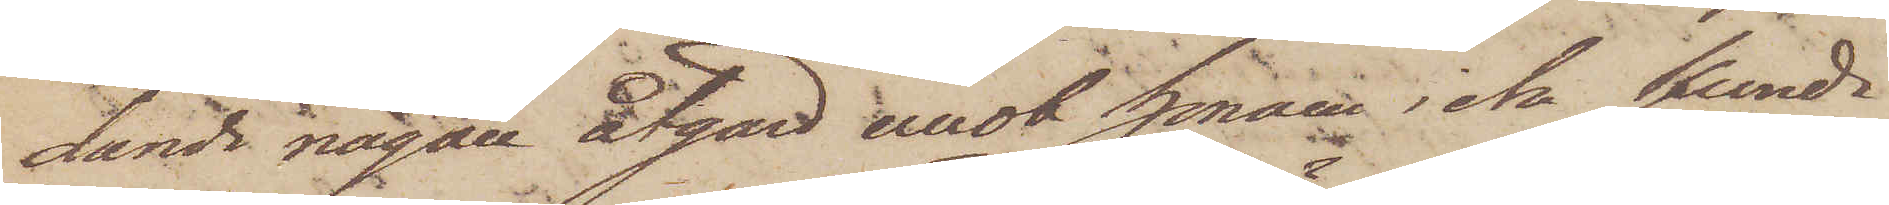dande någon åtgärd emot honom icke kunde
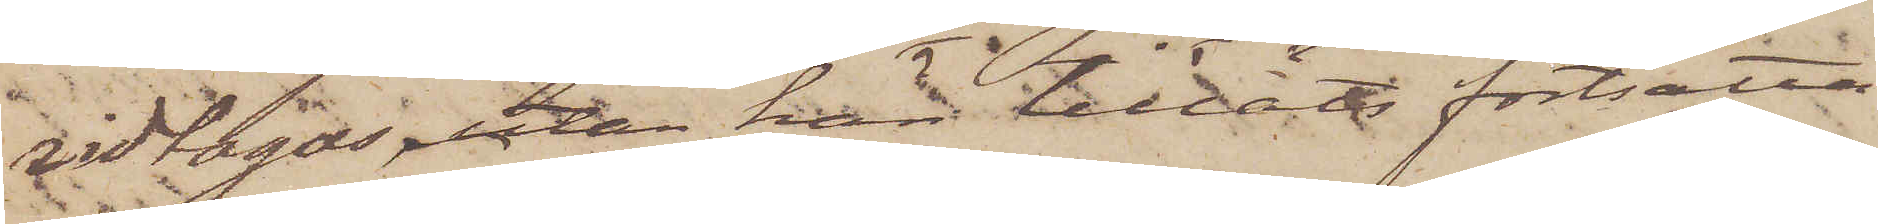vidtagas ,utan han tilläts fortsätta
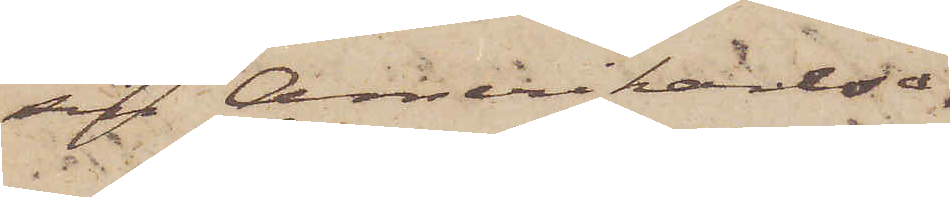sin Amerikaresa.
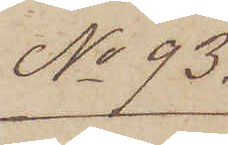No 93.
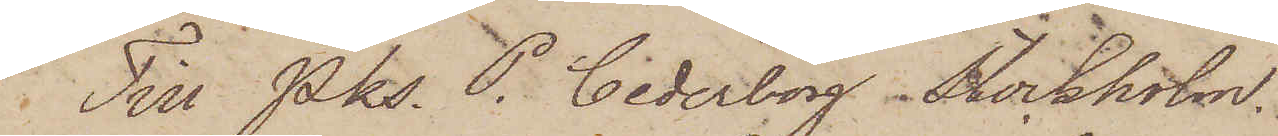Till Pks. P. Cederborg. Stockholm.
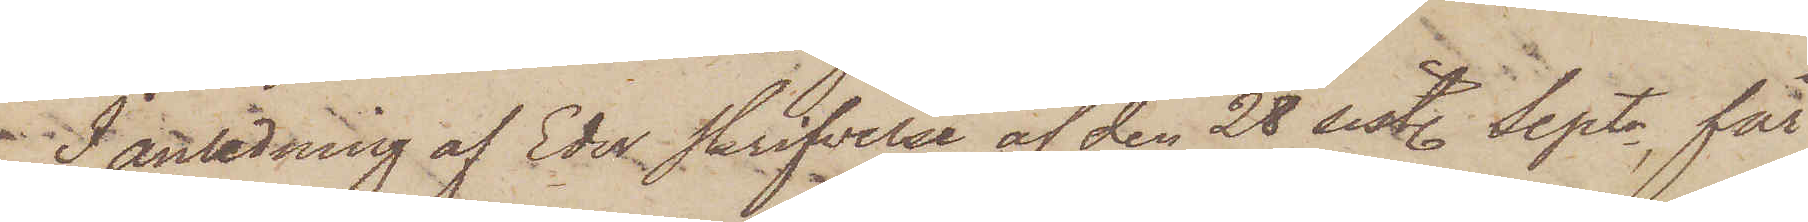I anledning af Eder skrifvelse af den 28 sist. Septr, får
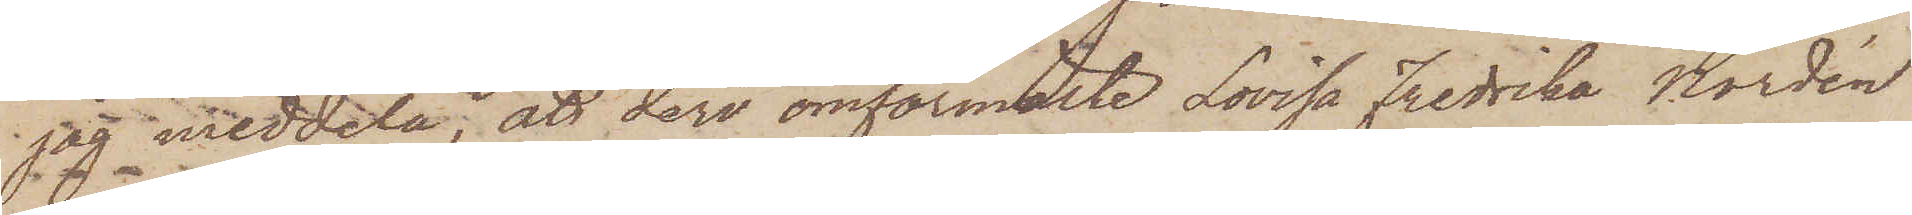jag meddela, att deri omförmälde Lovisa Fredrika Nordén
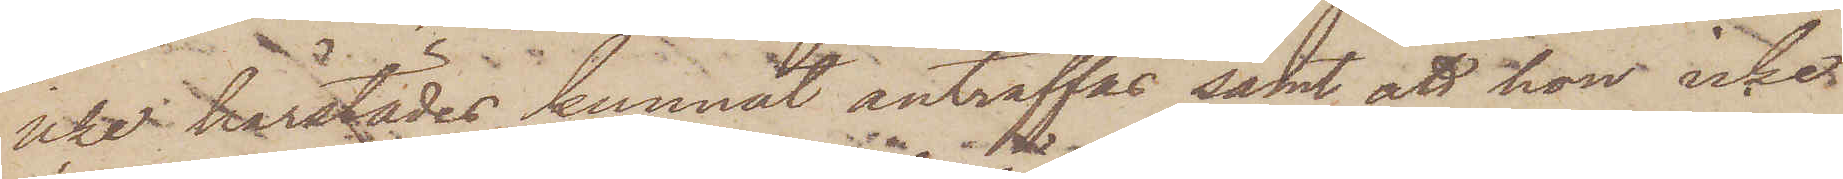icke härstädes kunnat anträffas samt att hon icke
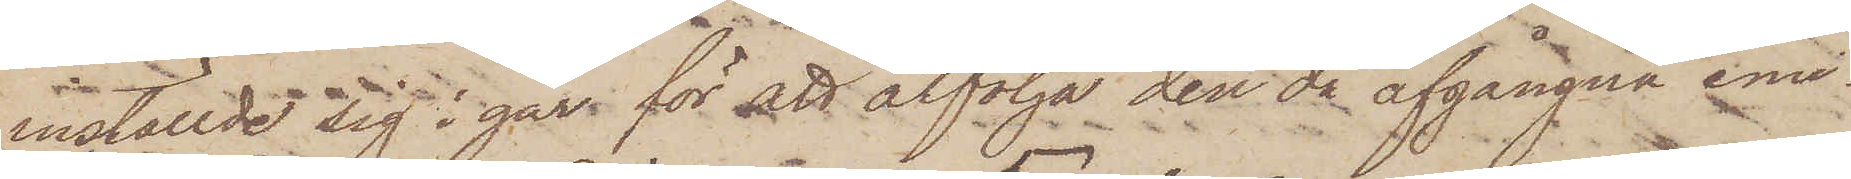inställde sig i går för att åtfölja den då afgångna emi¬
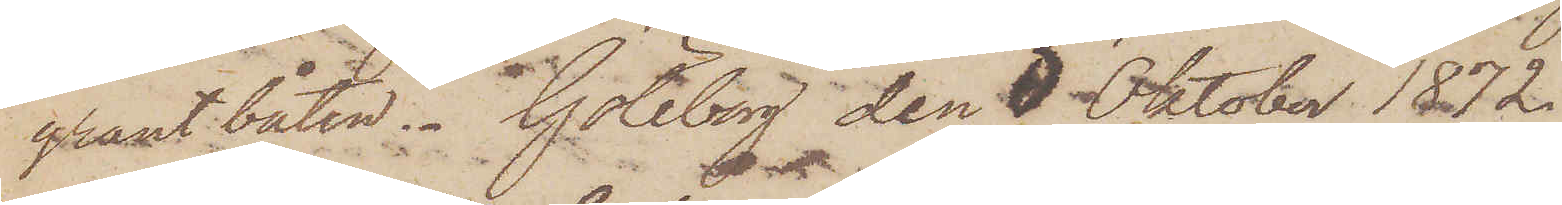grant båten. Göteborg den 5 Oktober 1872.
